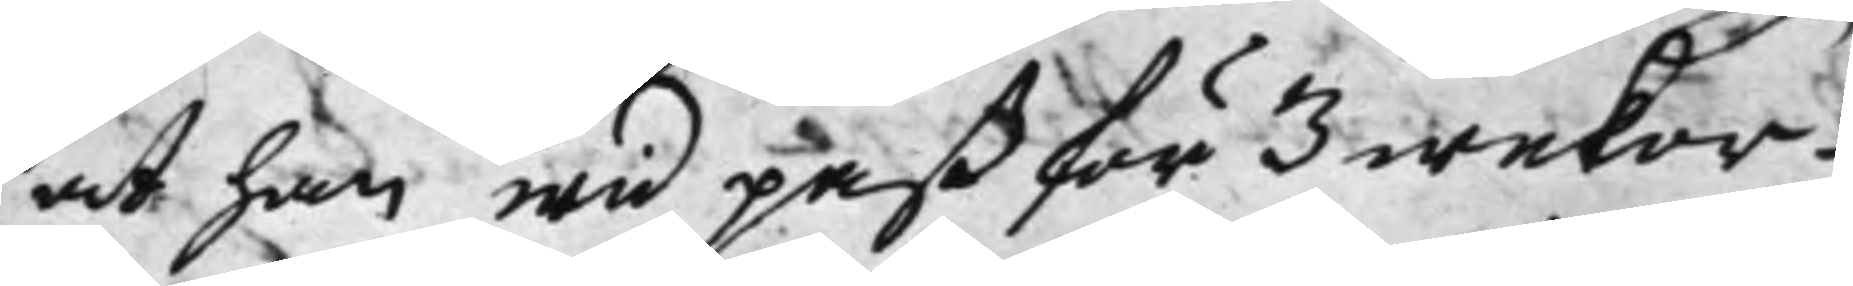at han wid paß för 3 wekor -
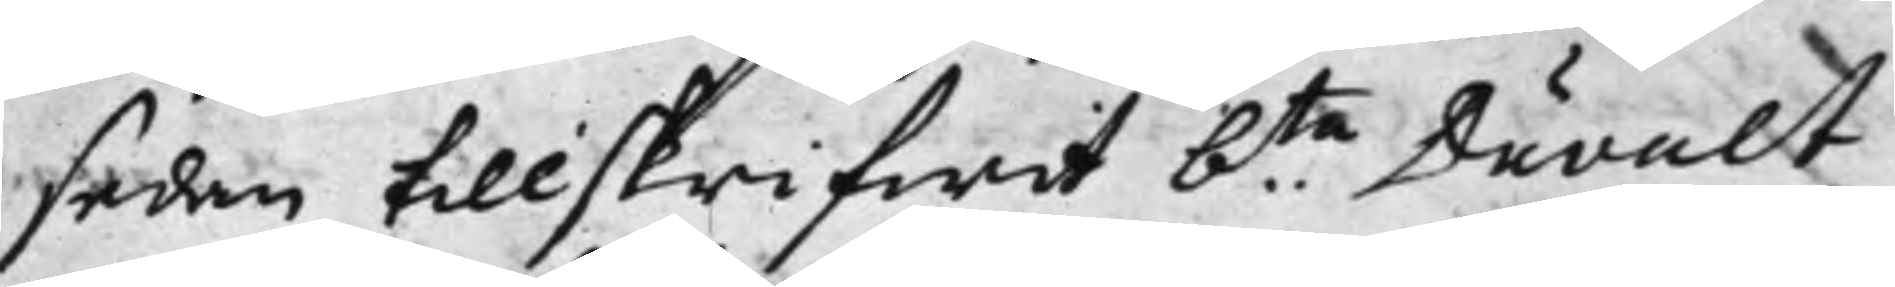sedan tillskrifwit b.te Duvalt
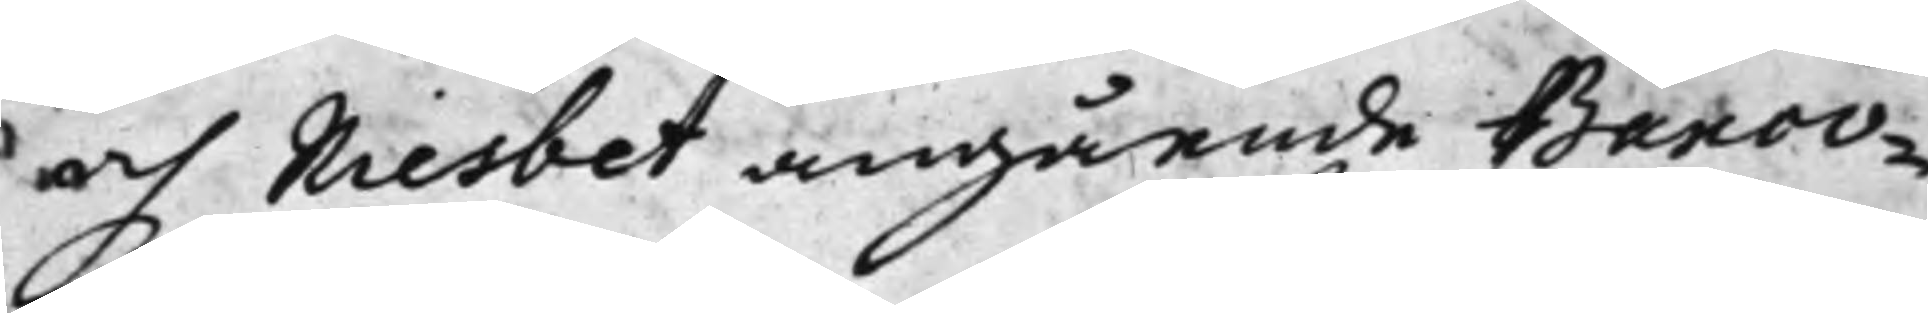och Niesbet angående Banco¬
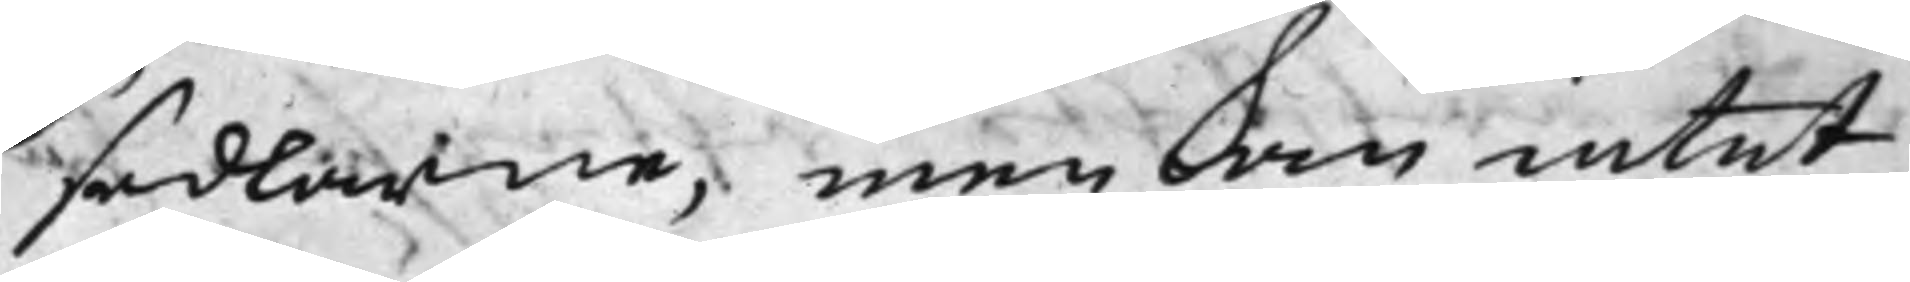sedlarne, men Som intet
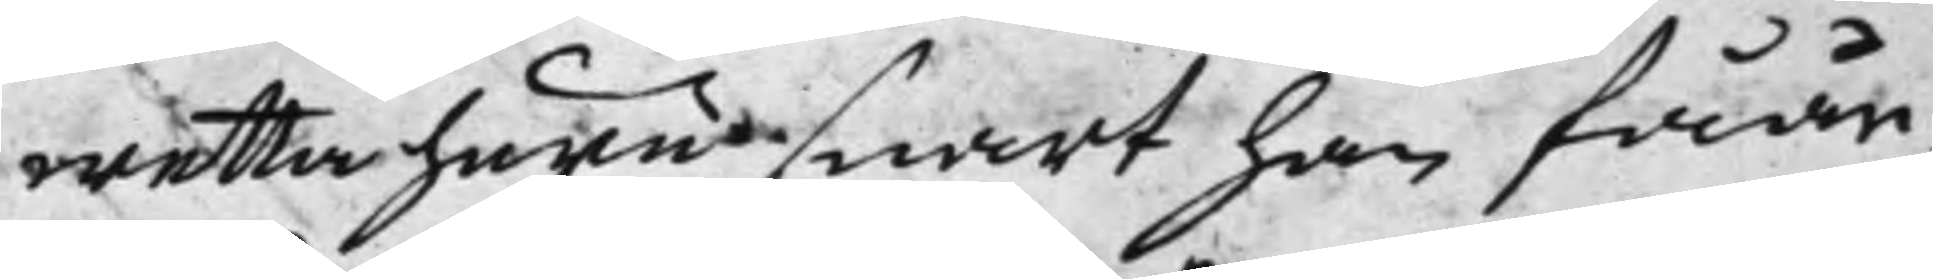wetta huru snart han fåår
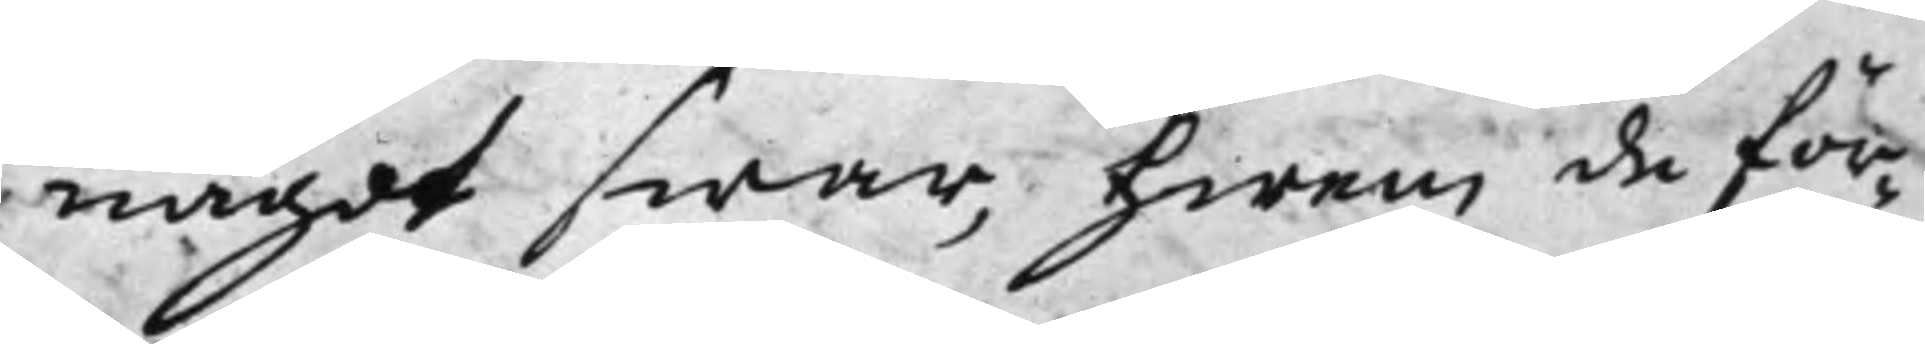något swar, hwem de för¬
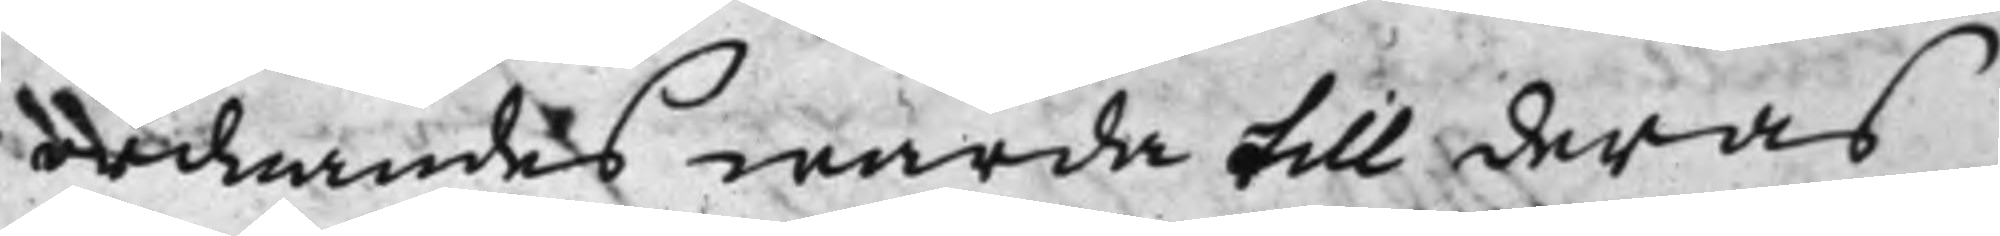ordnandes warda till deras
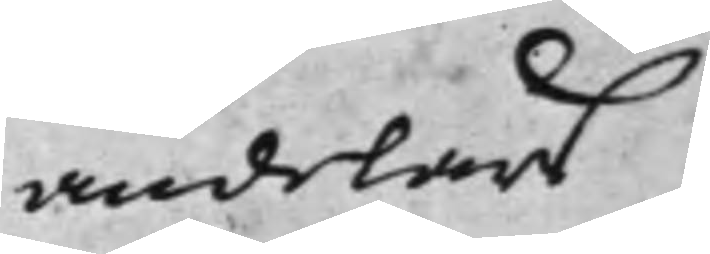andelar
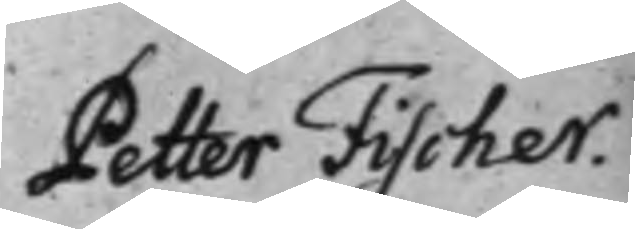Petter Fischer.
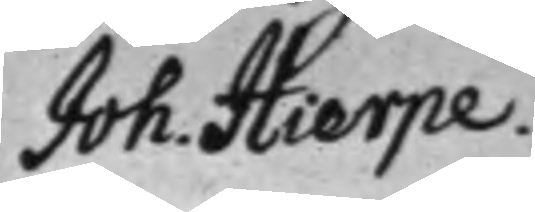Joh. Hierpe.
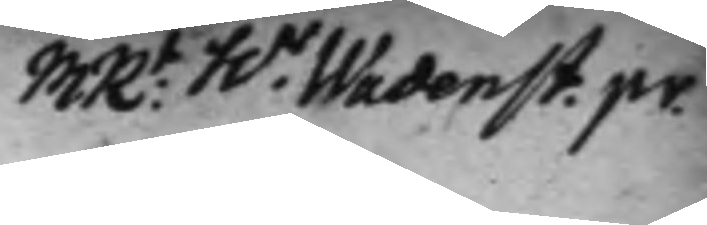MR:t h.r Wadenst. pr.
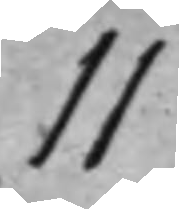11
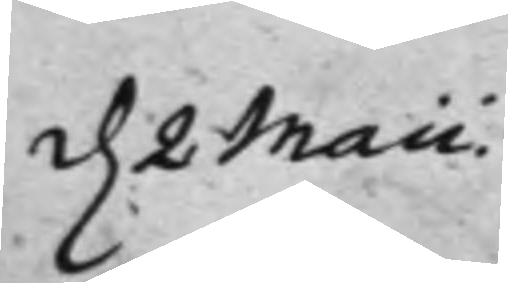d. 2 Maii.
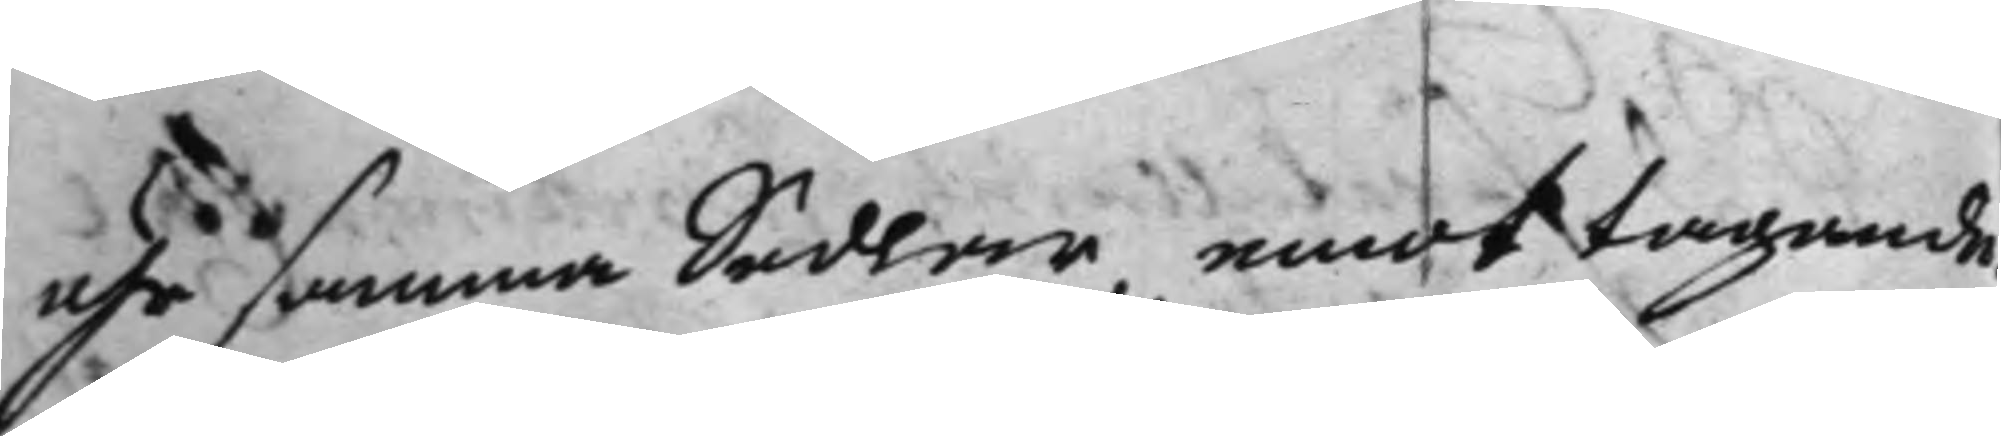uhr samma Sedlar, emottagande.
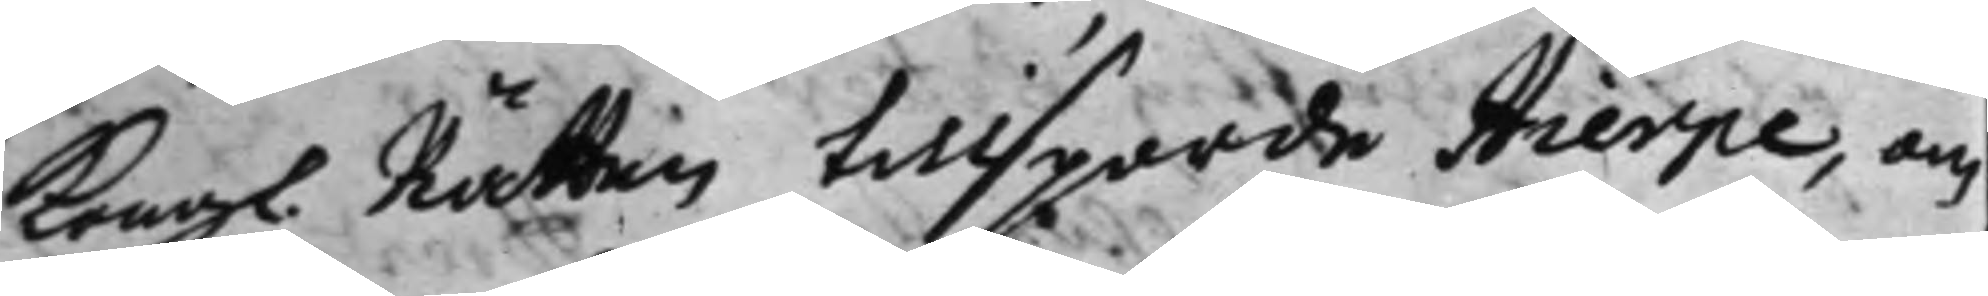Kong. Rätten tillsporde Hierpe, om
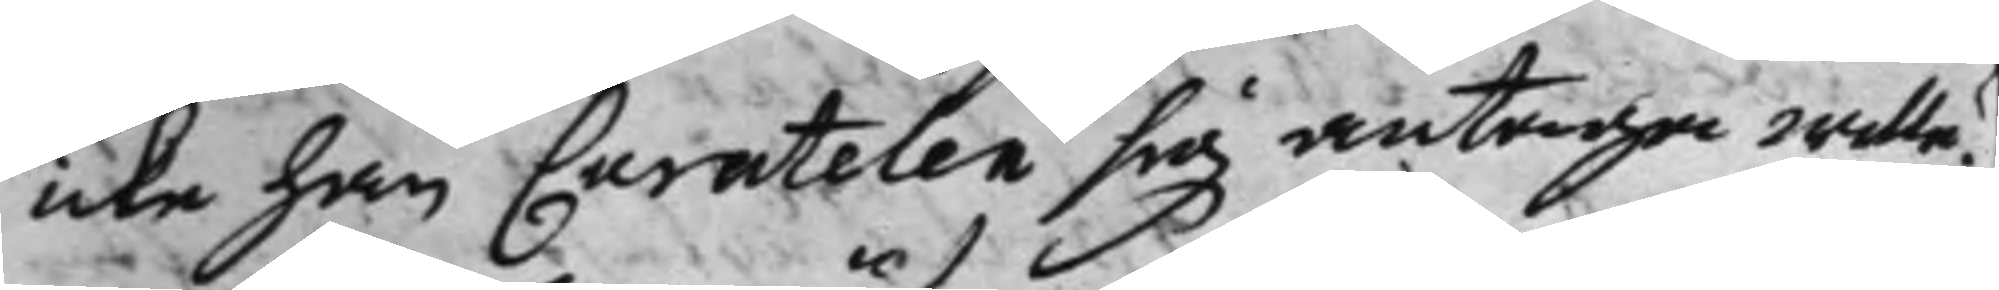icke han Curatelen sig antaga wille?
